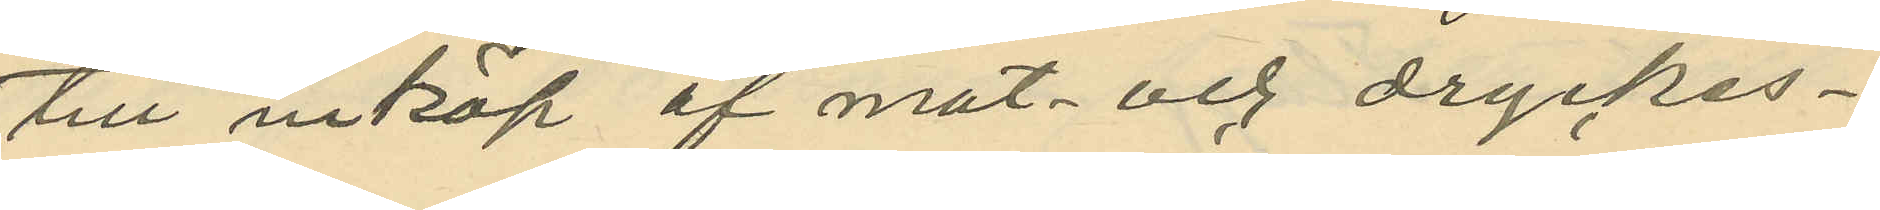till inköp af mat- och dryckes¬
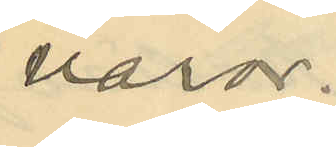varor.
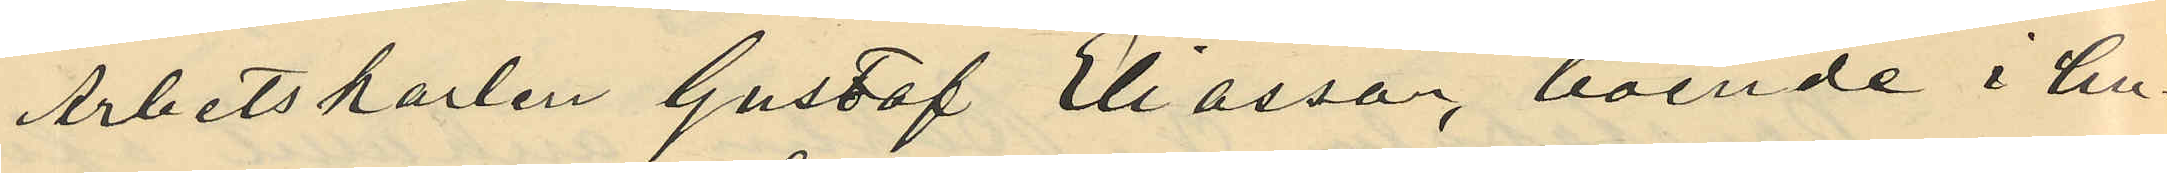Arbetskarlen Gustaf Eliasson, boende i hu¬
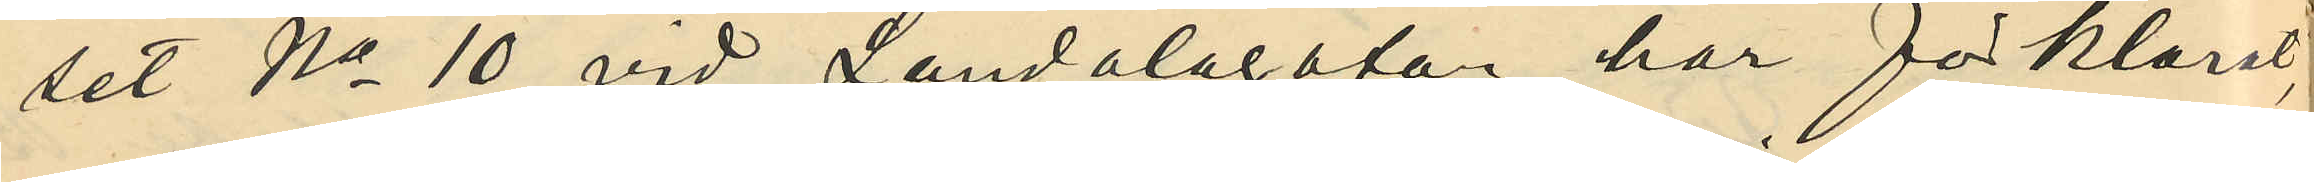set No 10 vid Landalagatan, har förklarat,
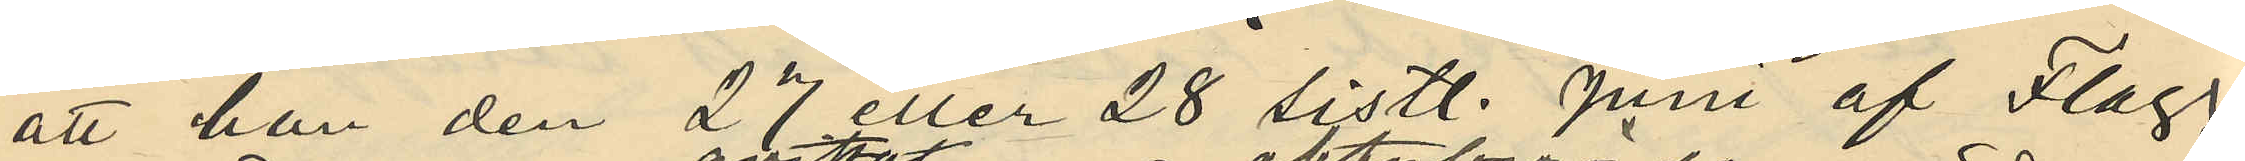att han den 27 eller 28 sistl. Juni af Flagg
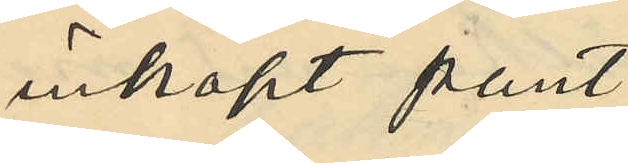inköpt pant¬
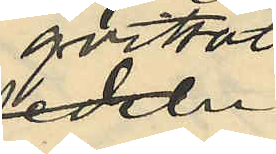qvittot
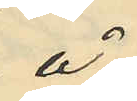å
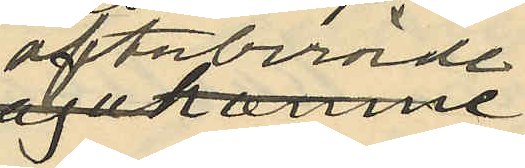oftaberörde
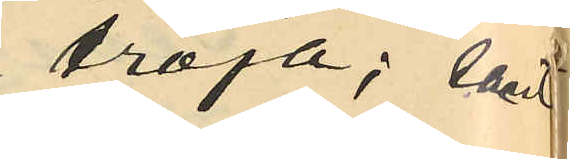tröja; samt
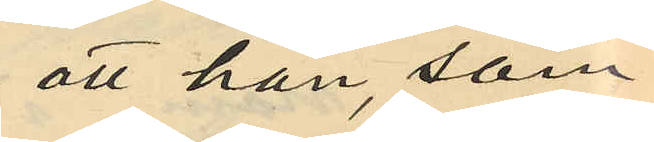att han, som
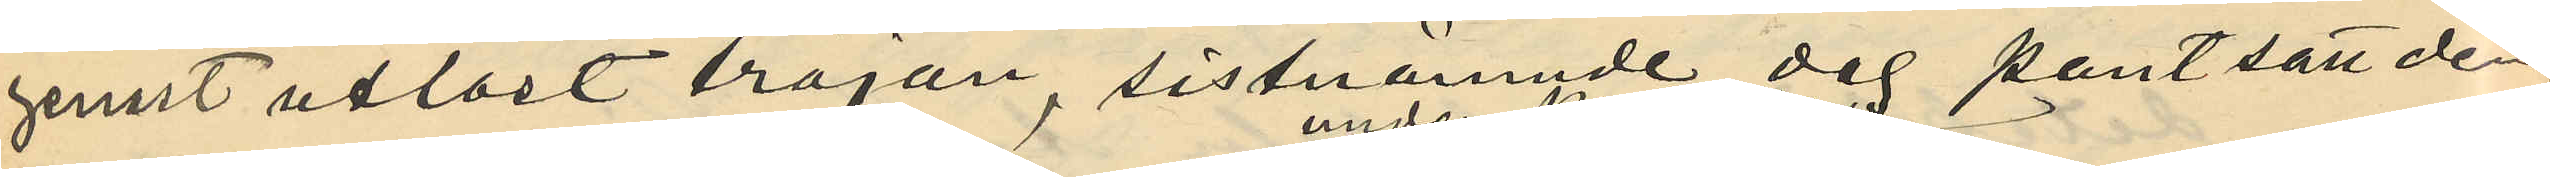genast utlöst tröjan, sistnämnde dag pantsatt den¬
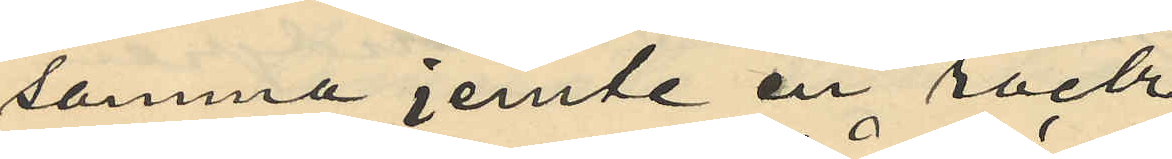samma jemte en rock
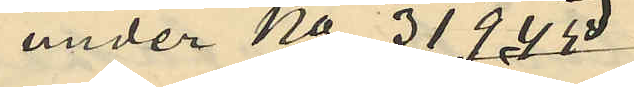under No 31945
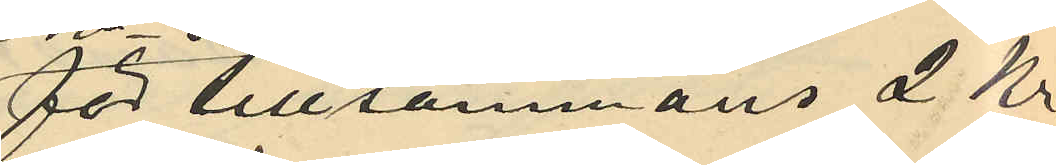för tillsammans 2 Kr
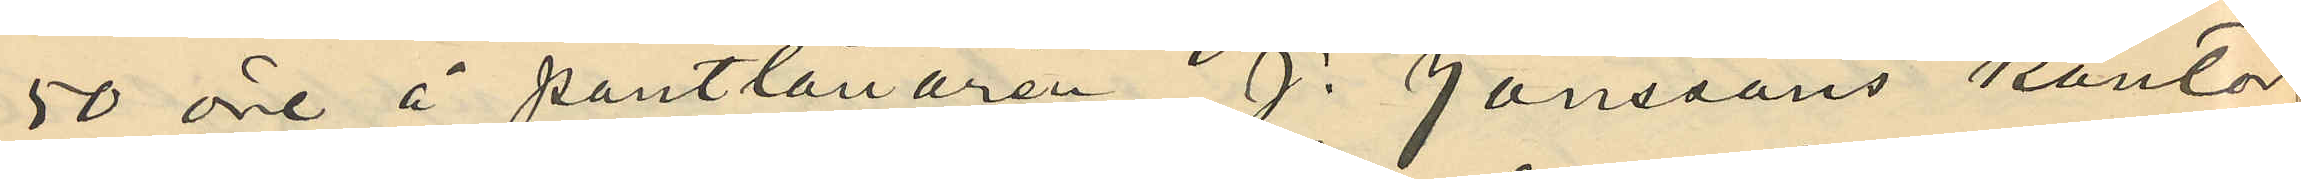50 öre å pantlånaren J. Jonssons kontor
